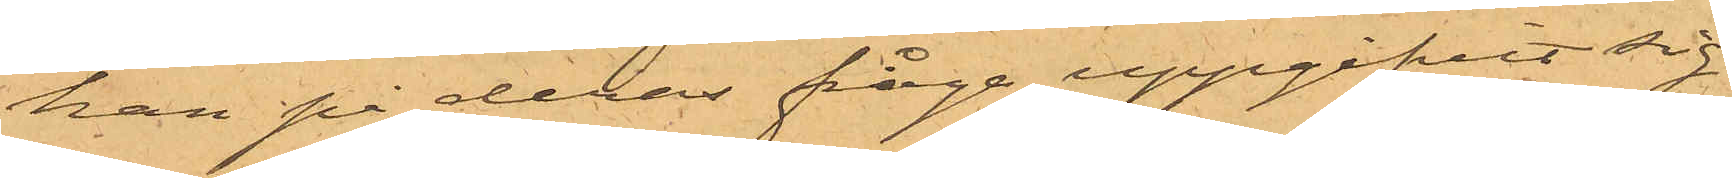han på deras fråga uppgifvit sig
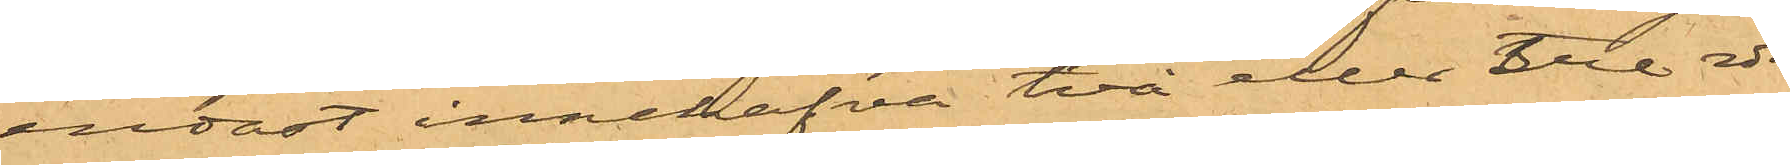endast innehafva två eller tre rdr,
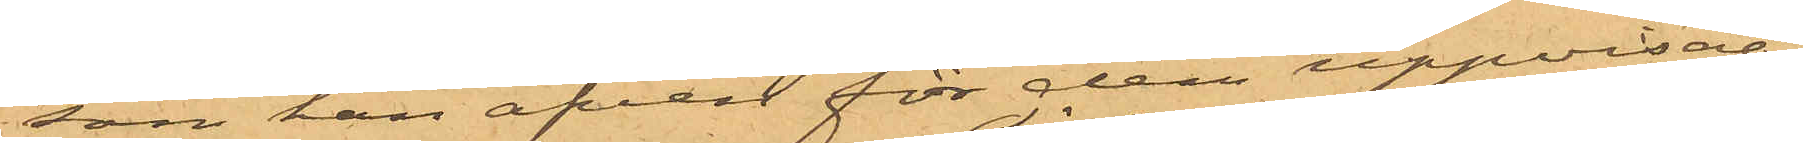som han äfven för dem uppvisat;
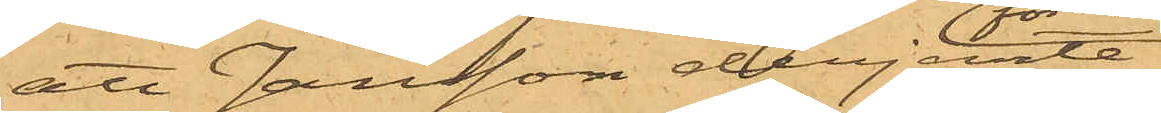att Jansson derjemte
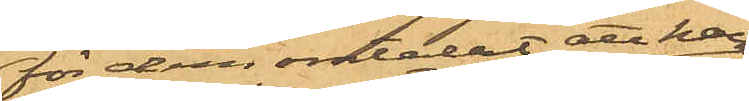för dem omtalat att han
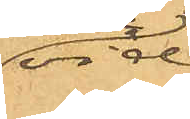vid
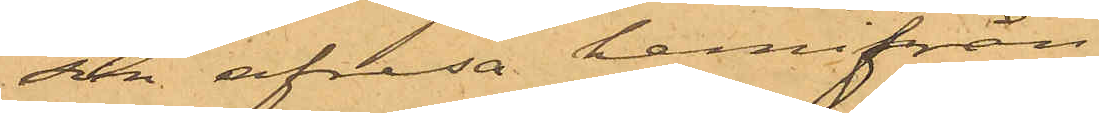sin afresa hemifrån
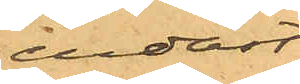endast
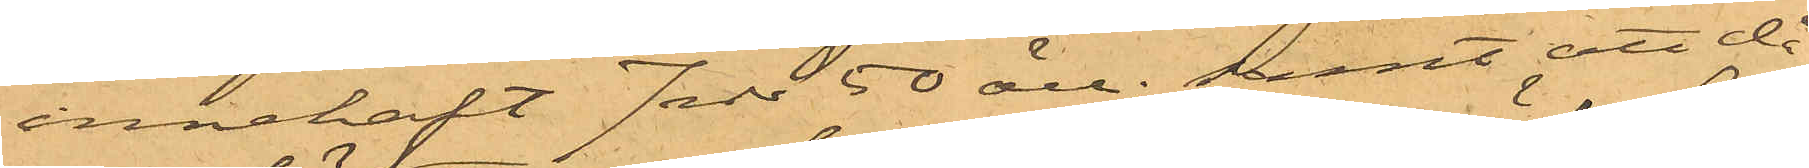innehaft 7 rdr 50 öre; samt att då
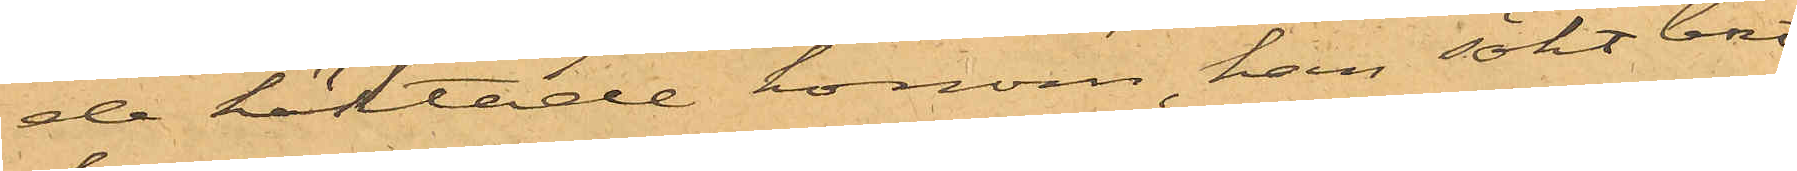de häktade honom, han sökt bort¬
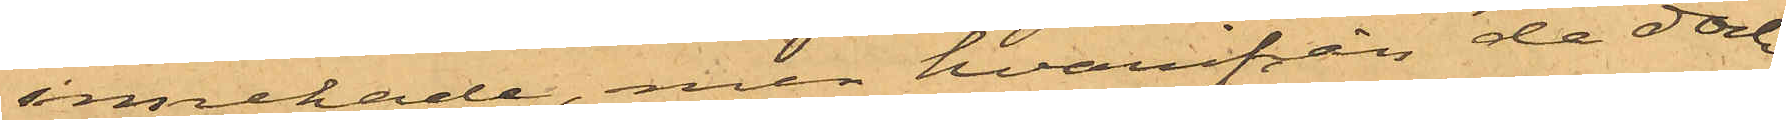innehade, men hvarifrån de dock
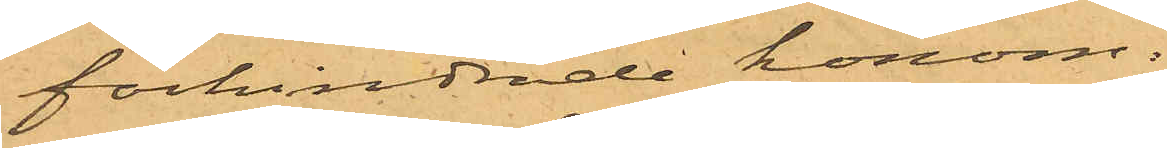förhindrade honom.
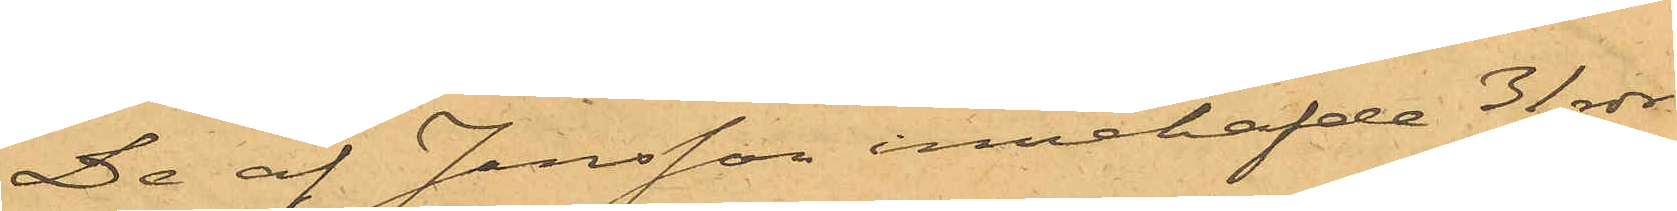De af Jansson innehafde 31 rdr
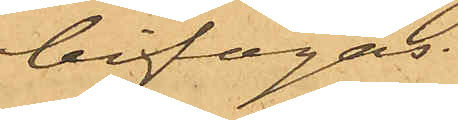bifogas.
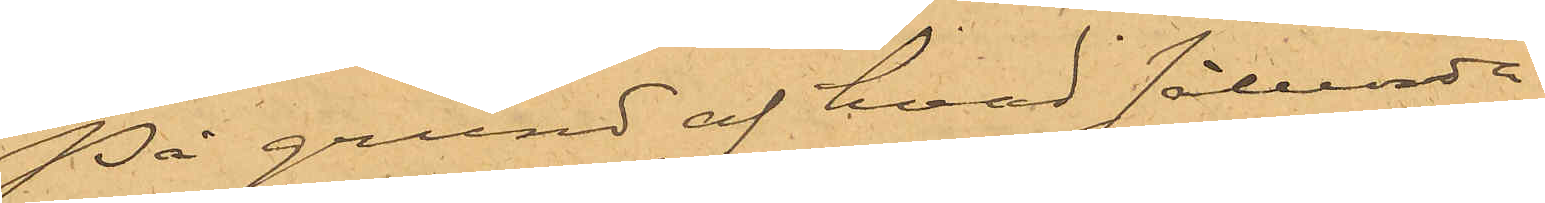På grund af hvad sålunda
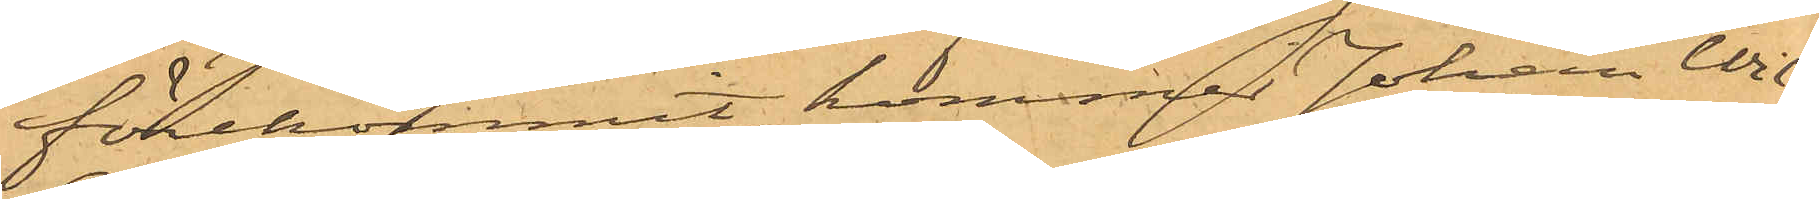förekommit, kommer Johan Wil¬
